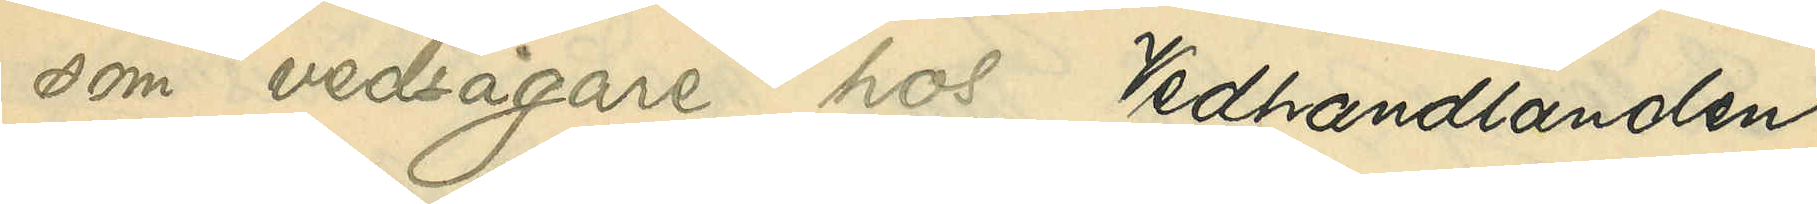som vedsågare hos Vedhandlanden
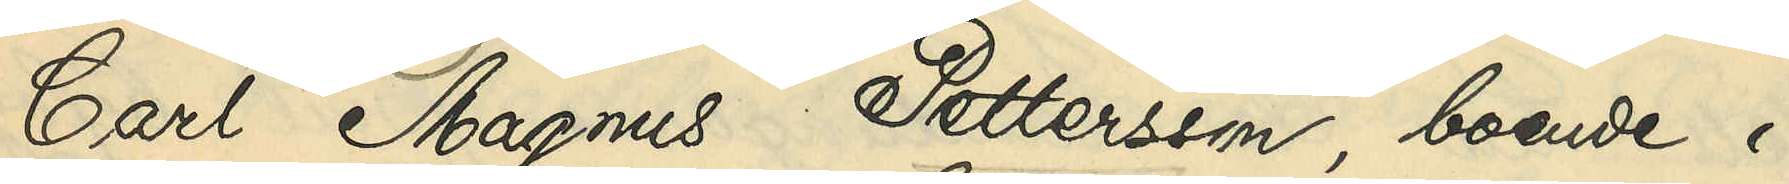Carl Magnus Pettersson, boende i
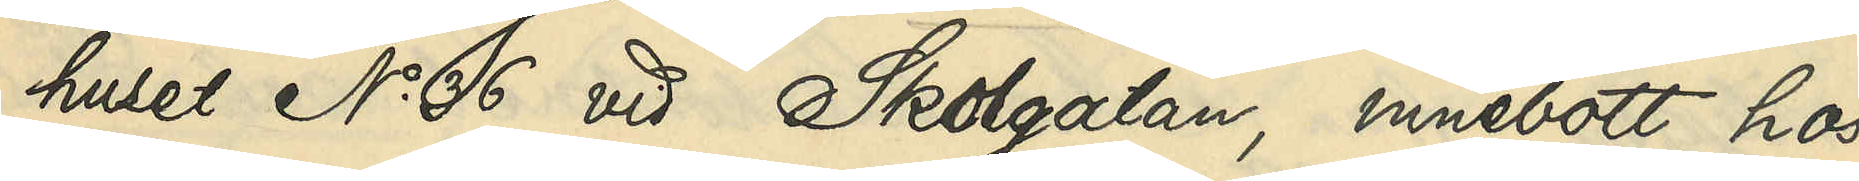huset No 36 vid Skolgatan, innebott hos
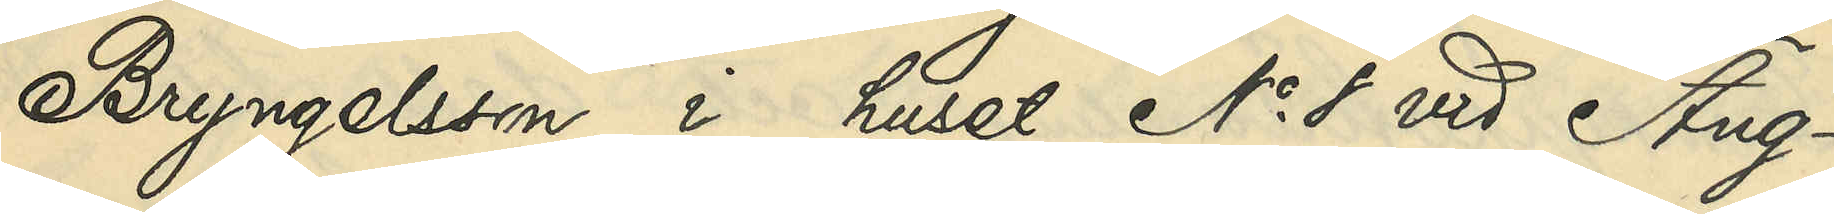Bryngelsson i huset No 8 vid Äng¬
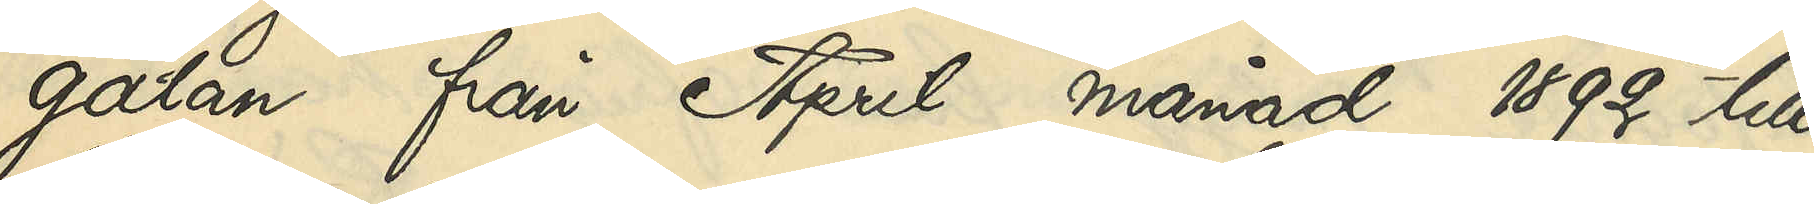gatan från April månad 1892 till
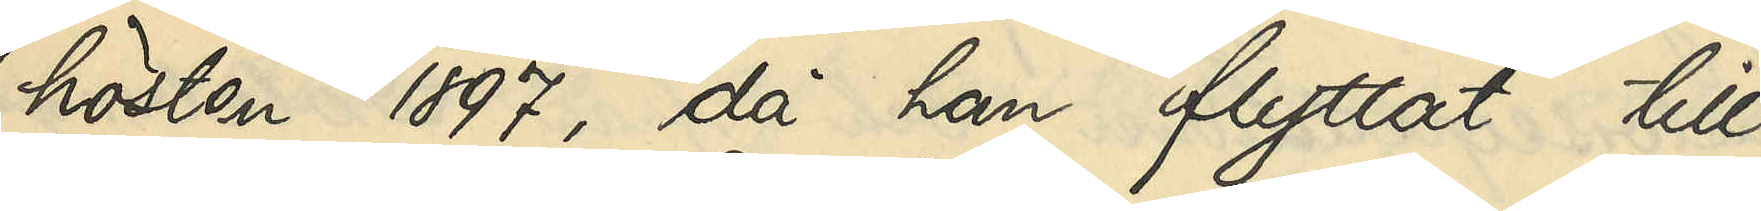hösten 1897, då han flyttat till
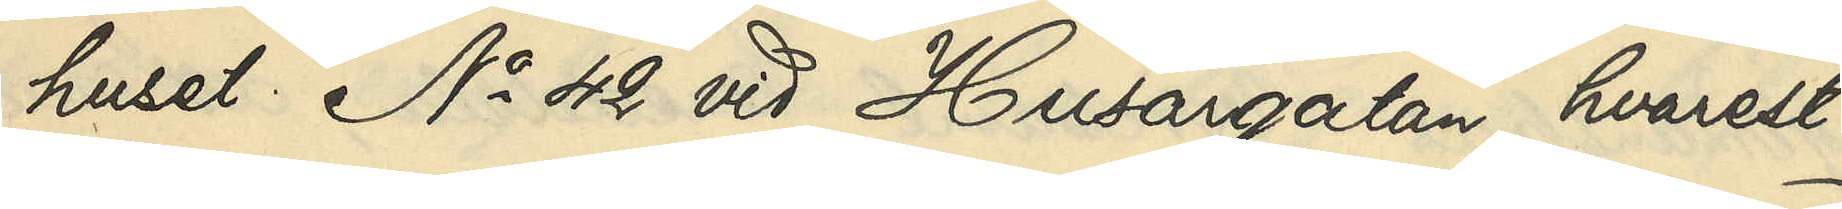huset No 42 vid Husargatan, hvarest
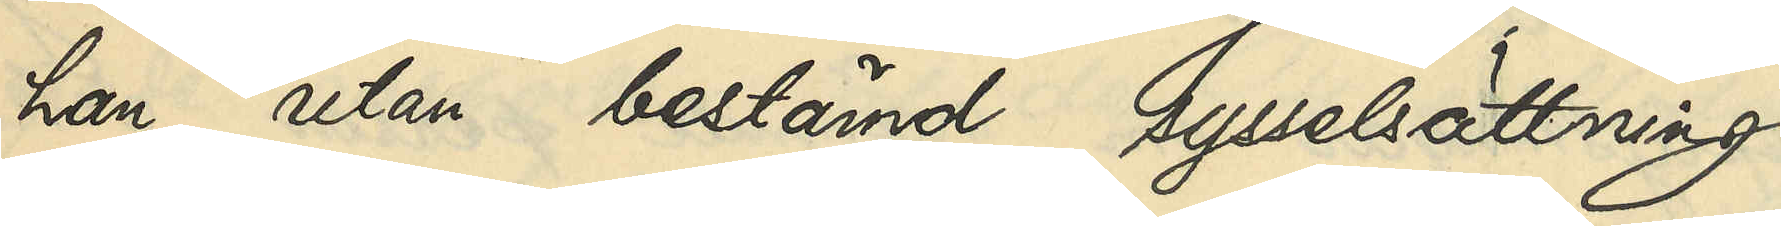han utan bestämd sysselsättning 
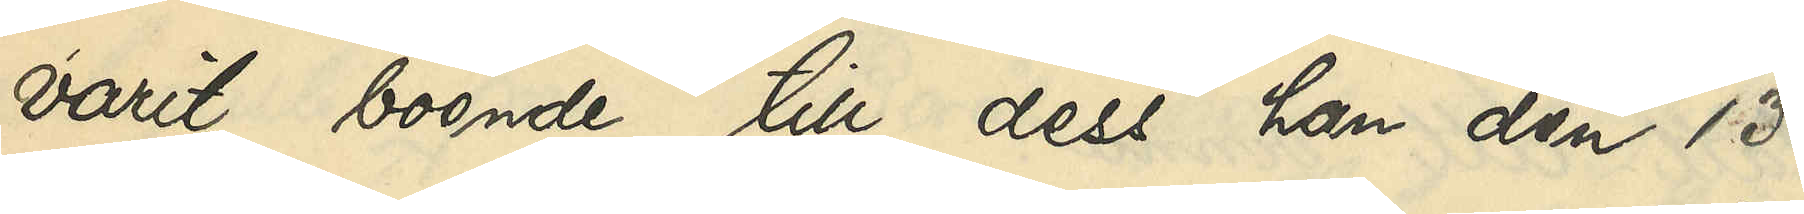varit boende till dess han den 13
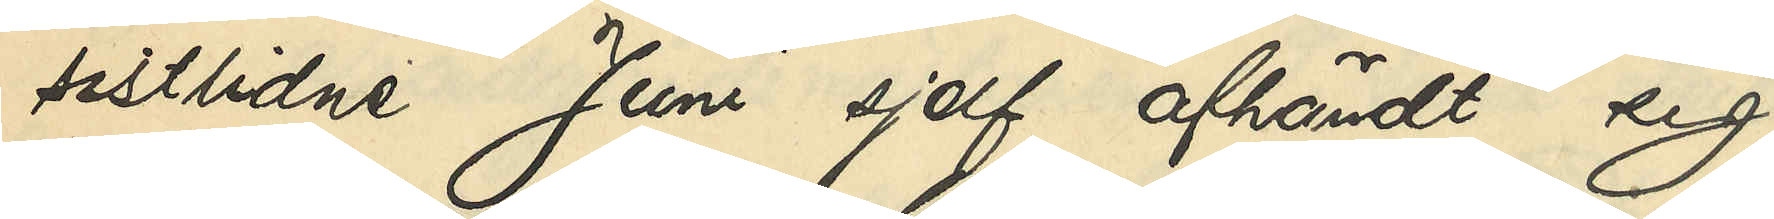sistlidne Juni sjelf afhändt sig
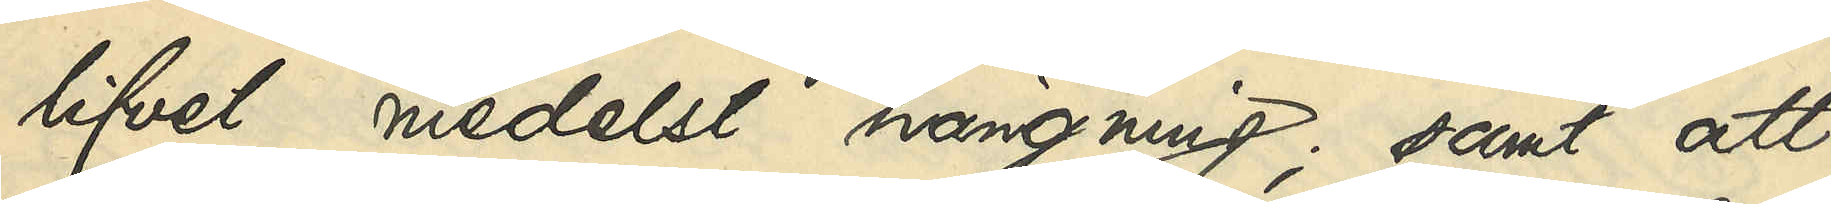lifvet medelst hängning; samt att
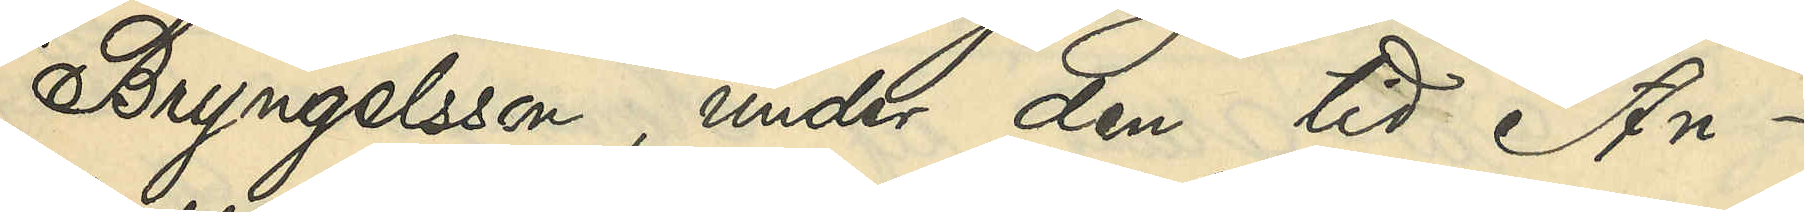Bryngelsson, under den tid An¬
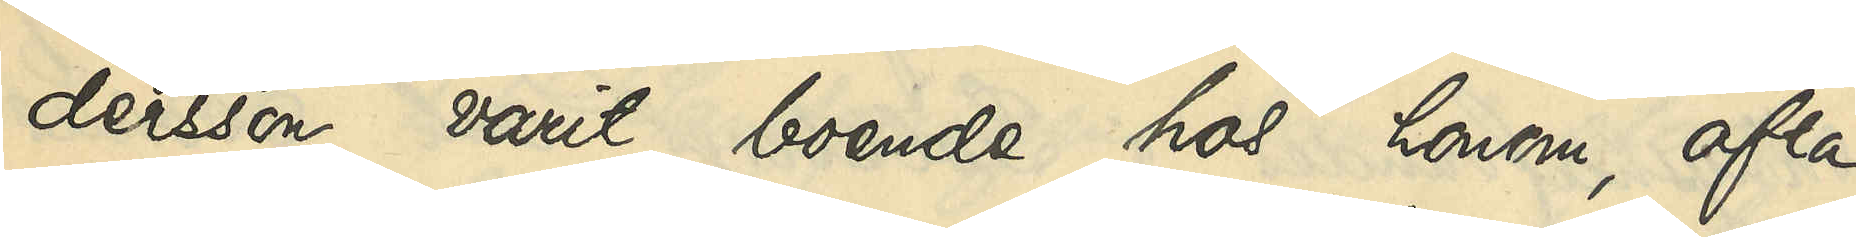dersson varit boende hos honom, ofta
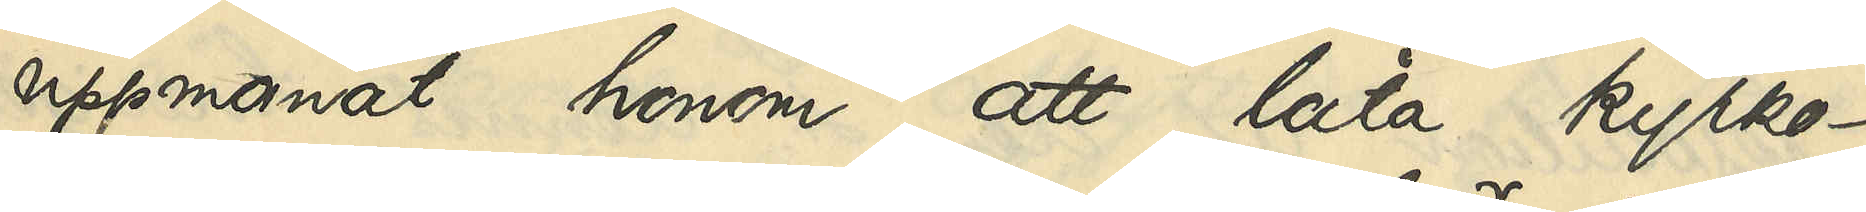uppmanat honom att låta kyrko-
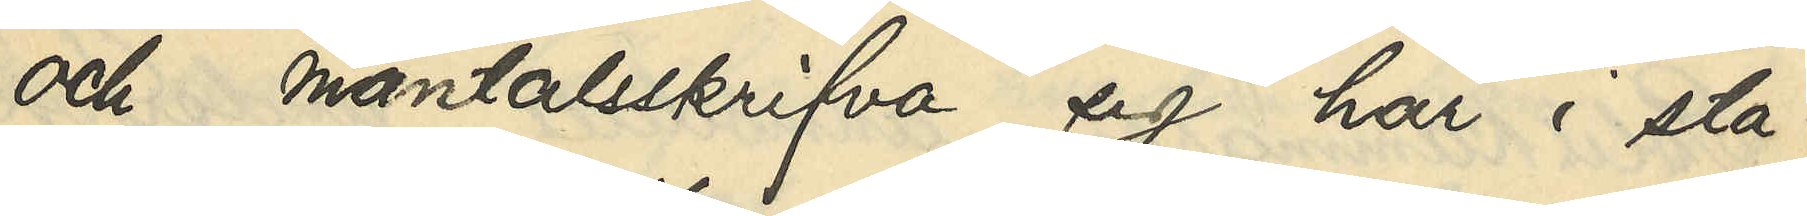och mantalsskrifva sig här i sta¬
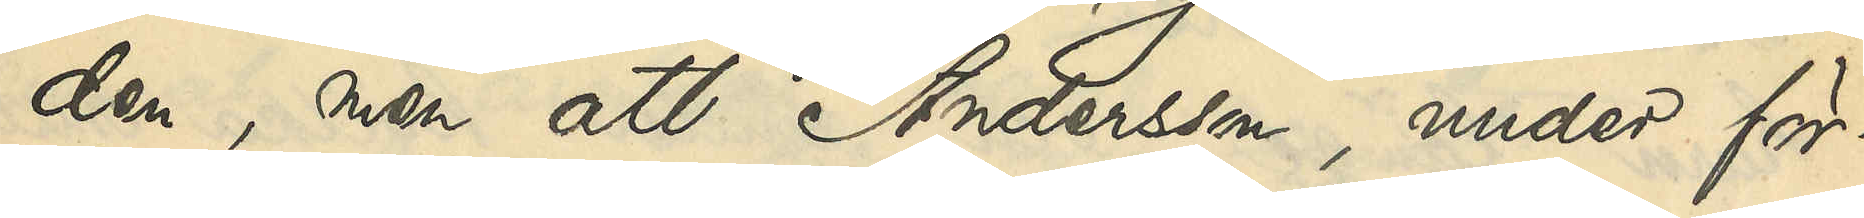den, men att Andersson, under för¬
